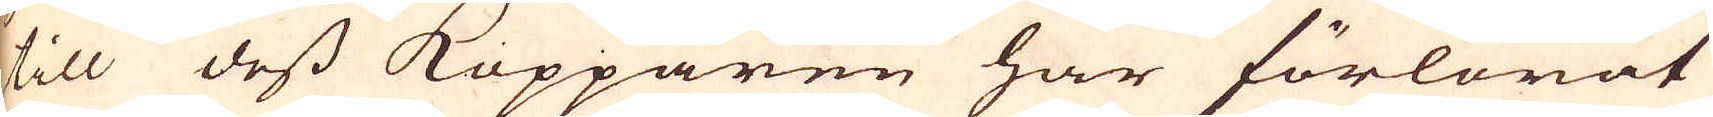till dess Kopparen har förlorat
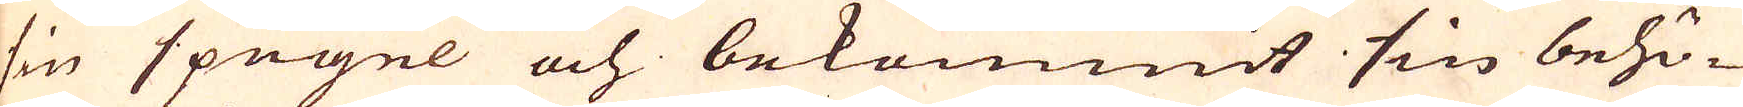sin spegel och bekommit sin behö-
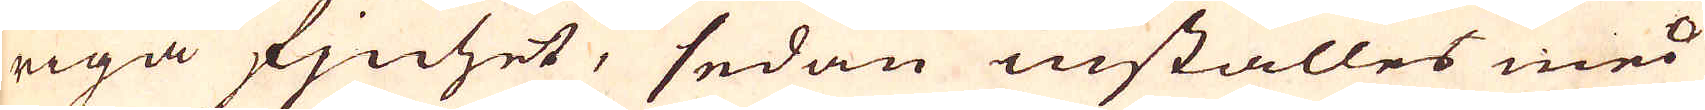riga fjnhet, sedan inställes med
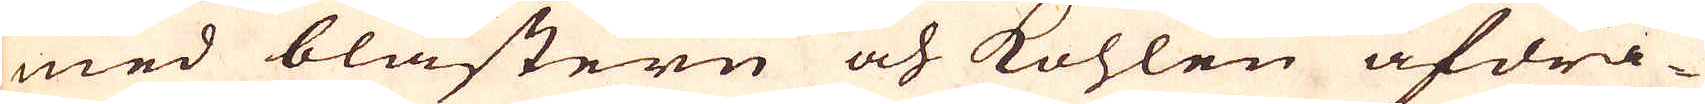med blästern och kohlen afdra-
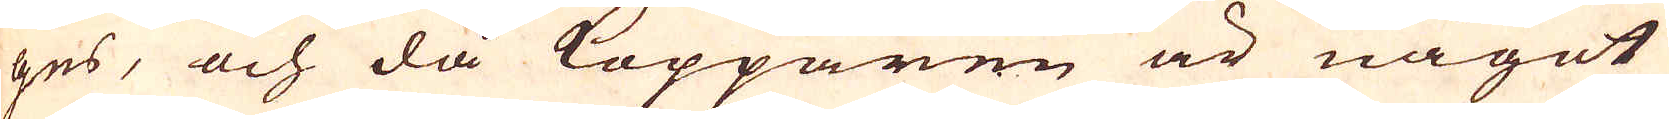ges, och då Kopparen är något
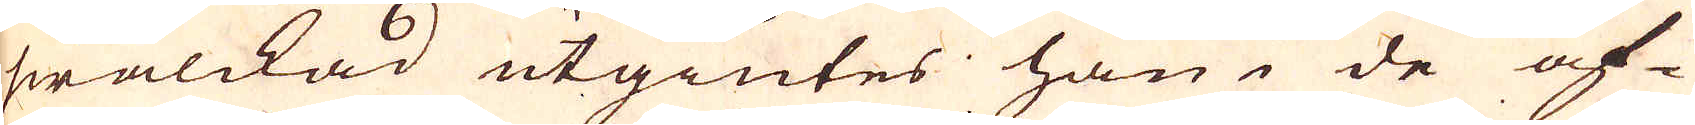swalckad utgiutes han i de af-
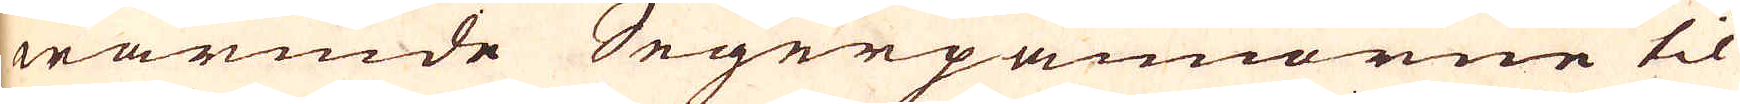wärmde Segerpannorne til
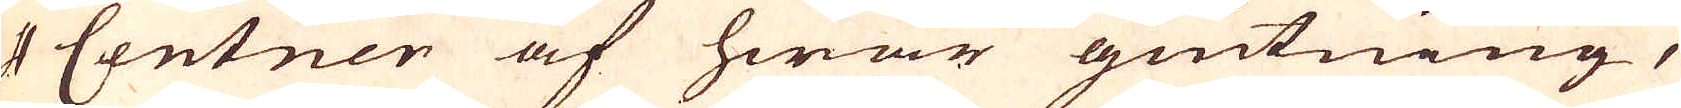4 Centnen af hwar giutning,
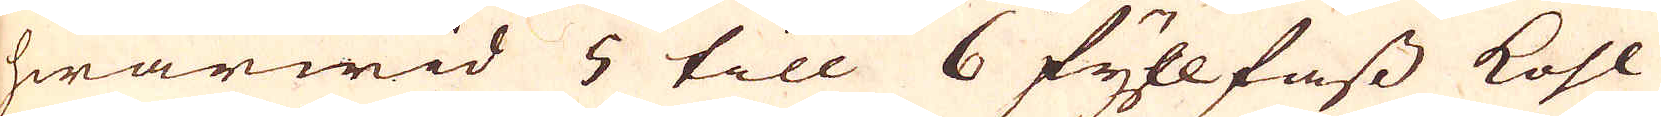hwarwid 5 till 6 fyllfass kohl
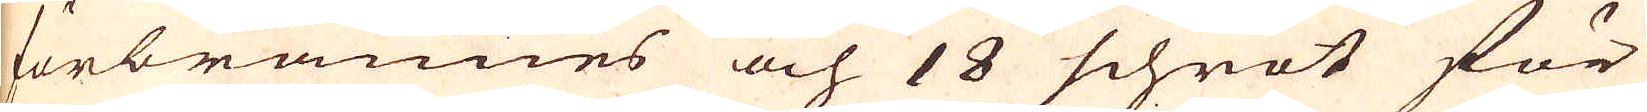förbrännes och 18 schröt för
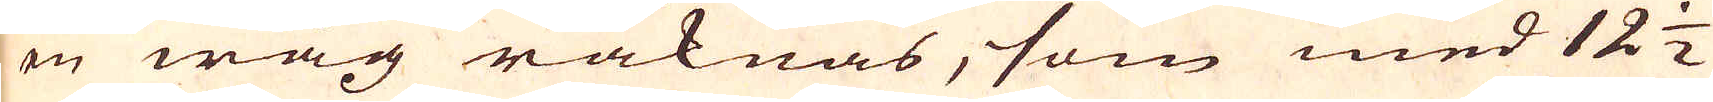en wåg räknas, som med 12 1/2
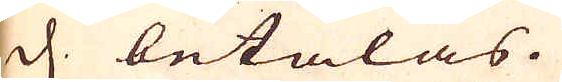d. betalas.
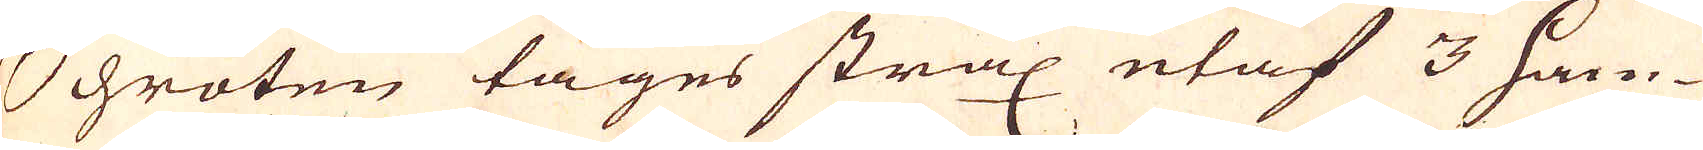Schroten tages strax utaf 3 ham-
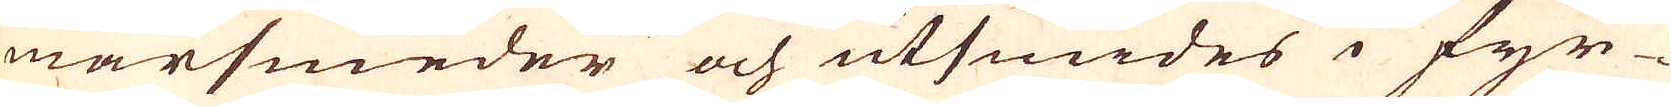marsmeder och utsmides i fyr-
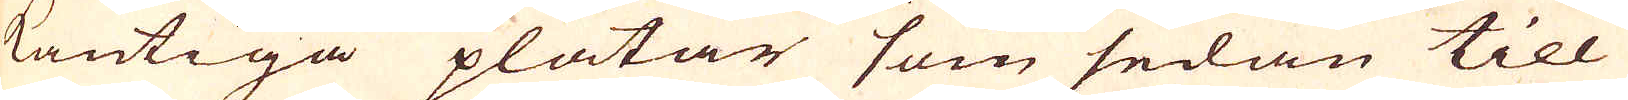kantiga plåtar som sedan till
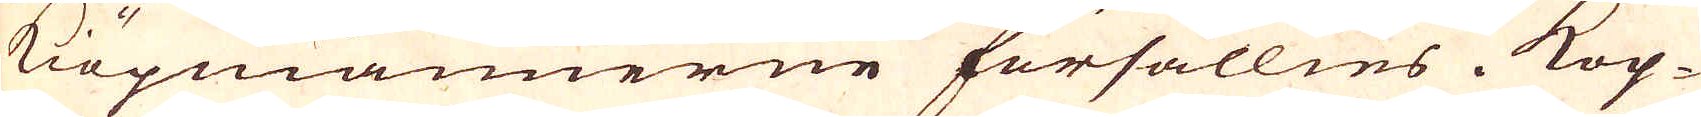kiöpmännerne försällies. Kop-
